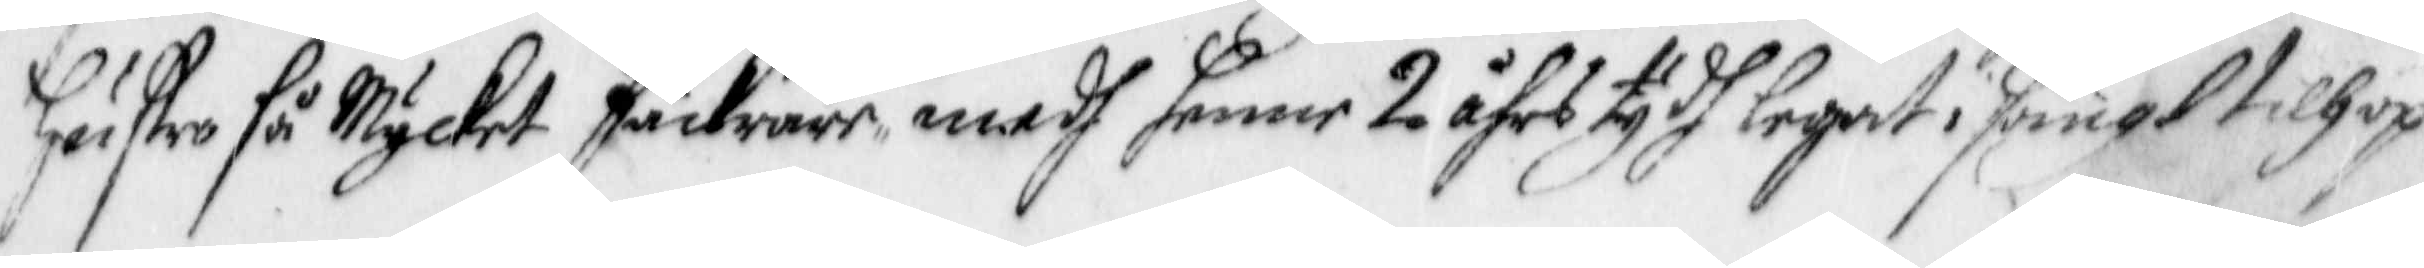hustru så Mycket säkrare som medh henne 2 åhrs tydh legat i sängt tillhopa
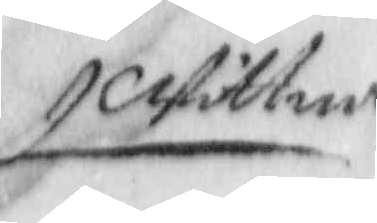Wittna
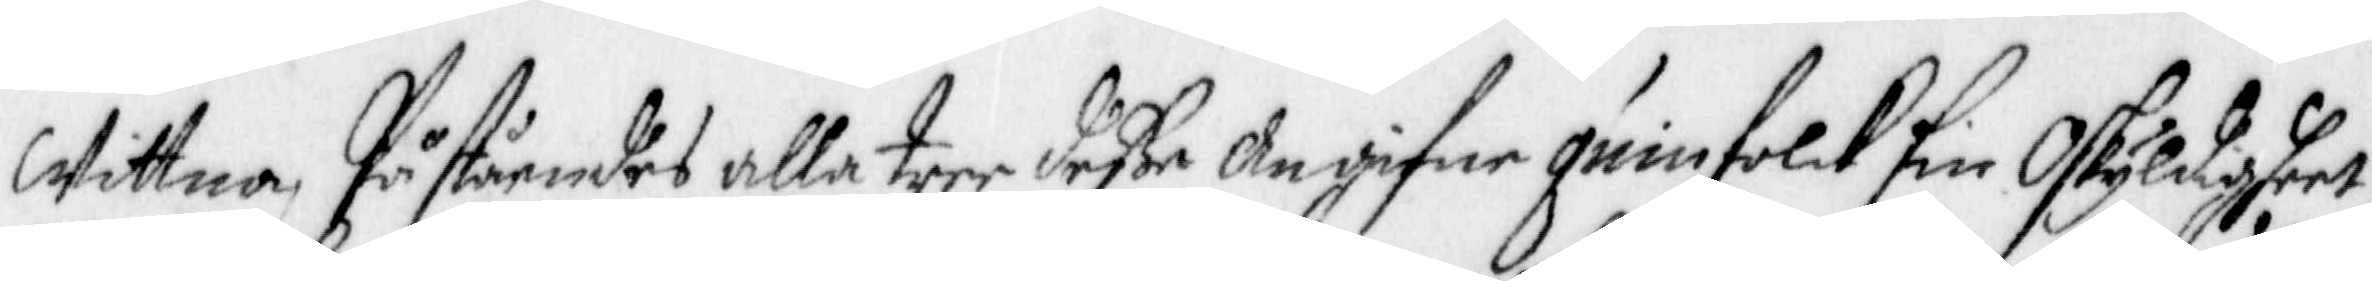Wittna, Påståendes alla tree deße Angifne qwinfolck sin Oskyldigheet,
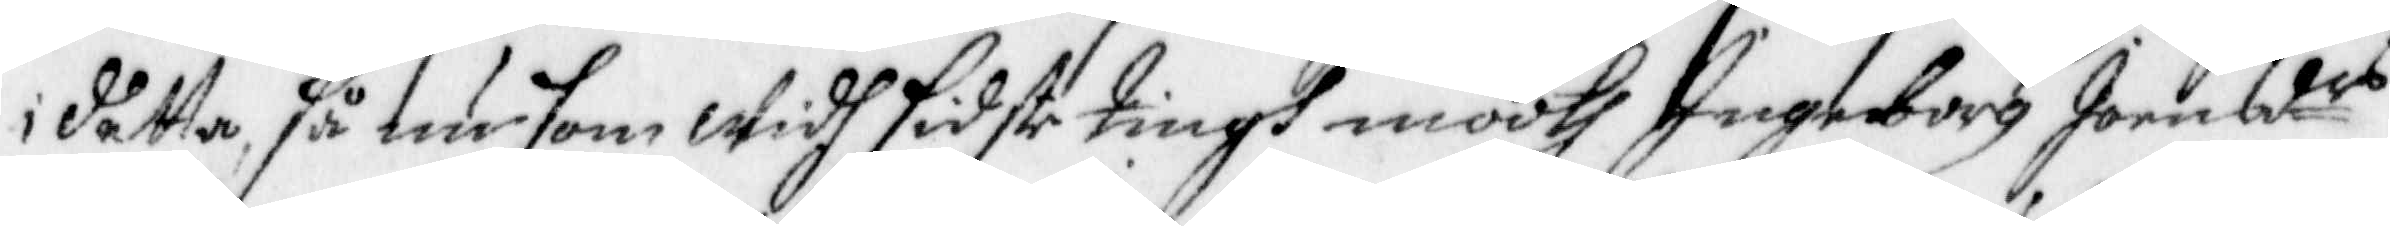i detta, så nu som Widh sidste tingh moodt Ingeborg Joensdr
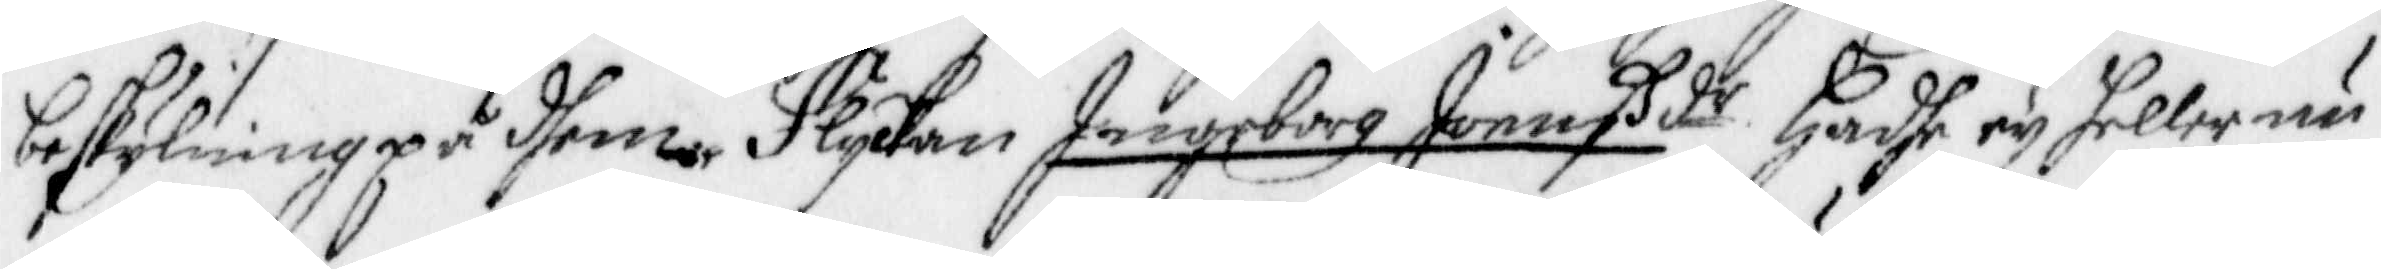beskylning på dhenne Flykan Ingeborg Joenßdr Hadhe ey heller nu
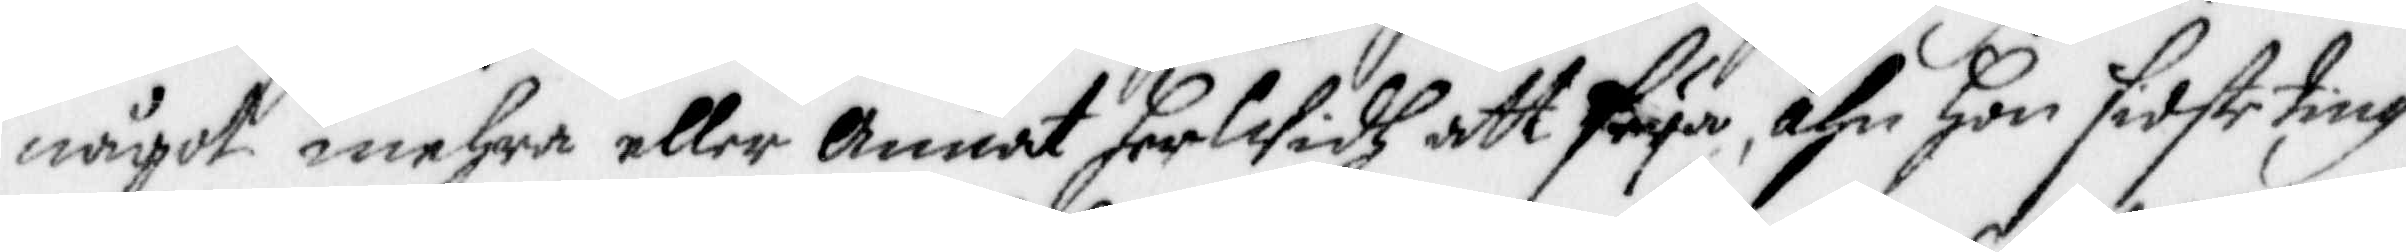något mehra eller Annat herWidh att seya, ähn Hon sidste ting
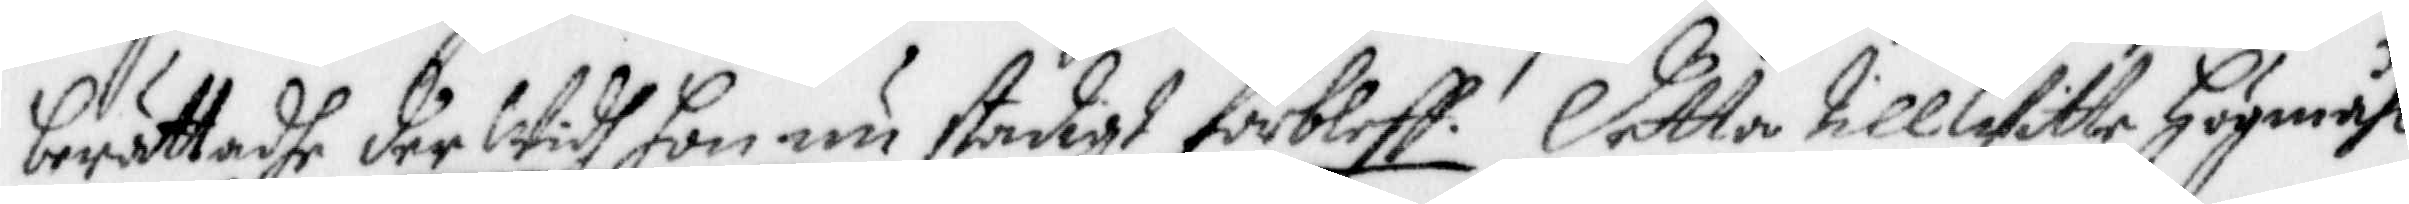berättadhe der Widh hon nu stadigt förbleff. Detta tillWitte Högmåhl
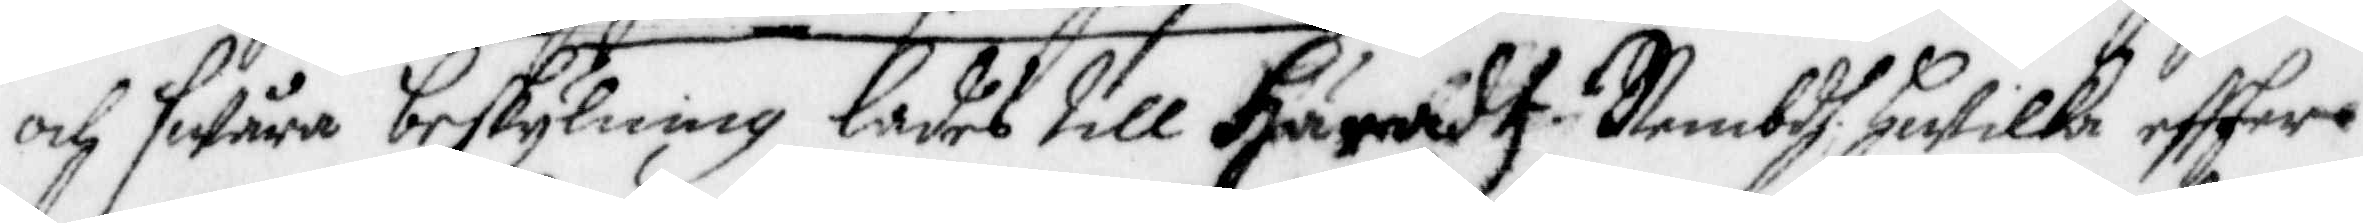och sWåra beskylning lades till Häradt. Nembdh, Hwilke eftter
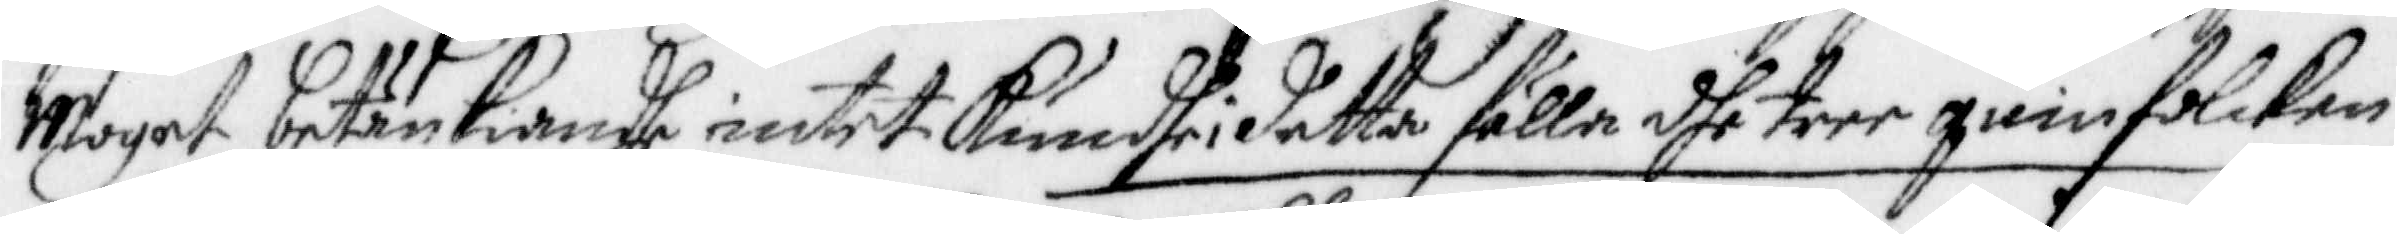Moget betänkiande intet kundhe i detta fälla dhe tree quinfolcken
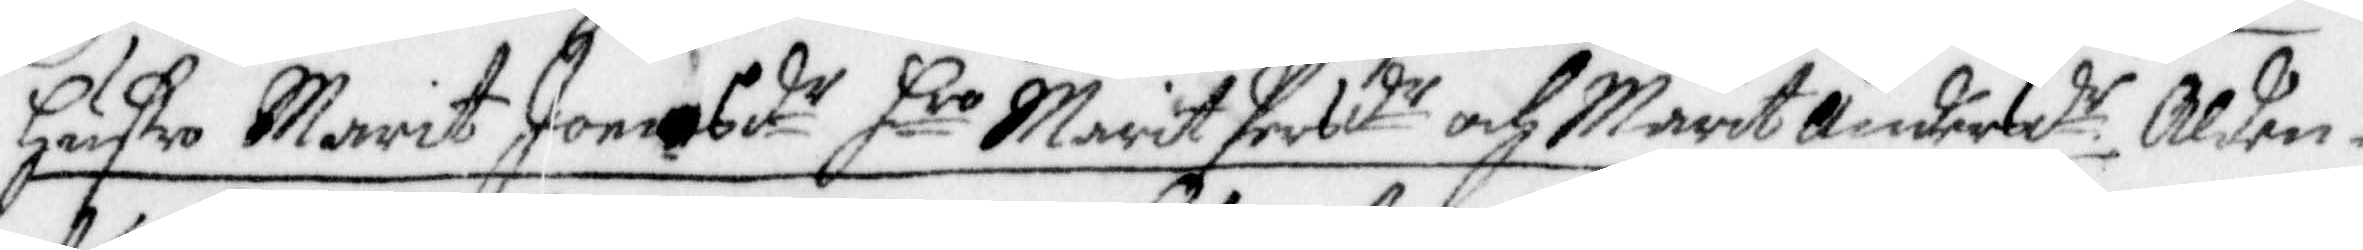Hustro Marit Joensd.r Hro Marit Persdr och Marit Andersd.r Alden¬
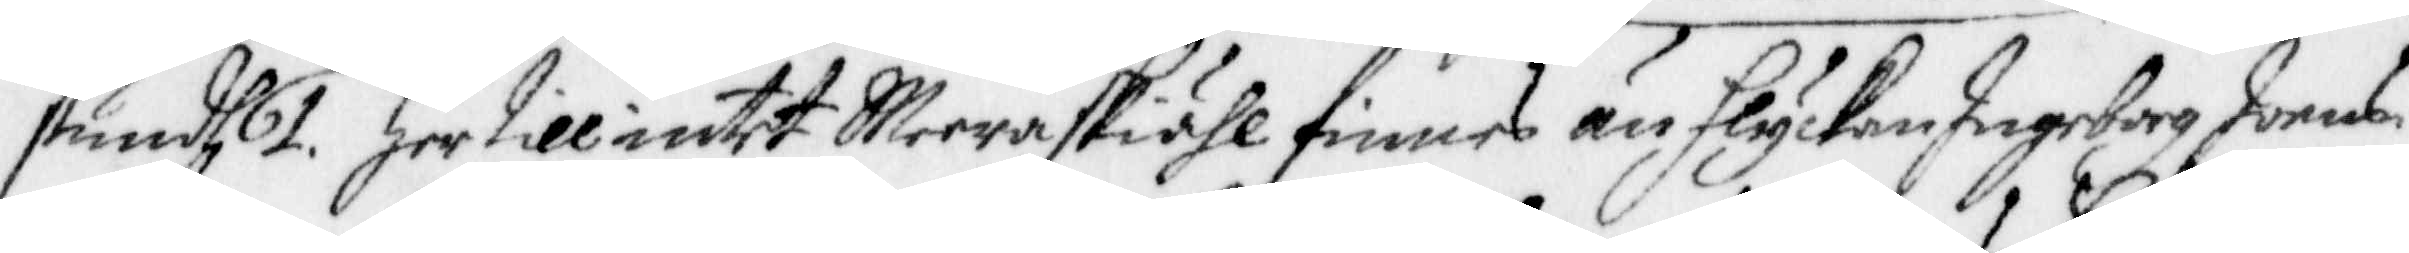stundh 1. Her till intet Meera skiähl finnes än Flyckan Ingeborg Joens¬
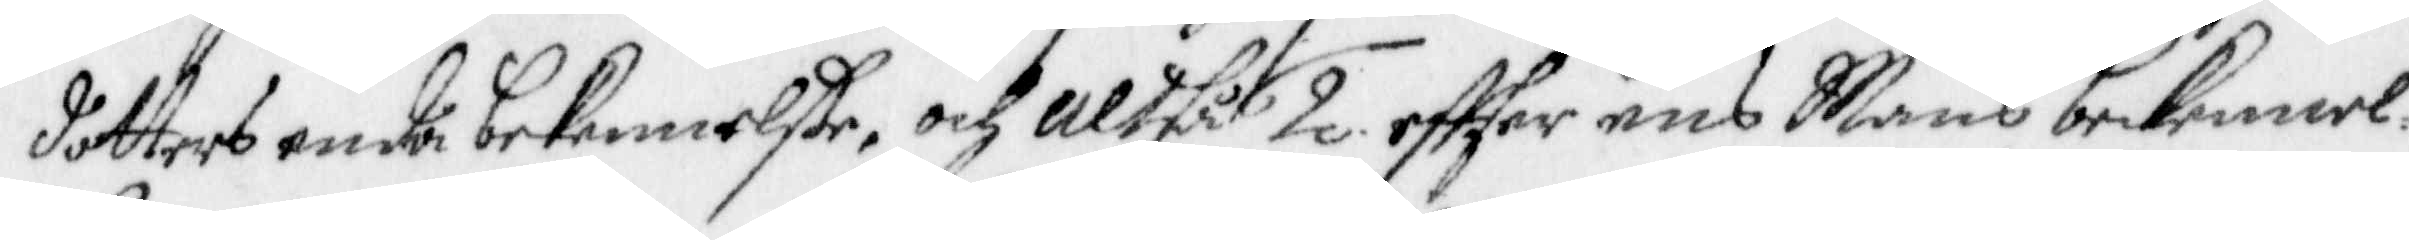dotters enda bekennelße, och altså 2. effter ens Mans bekennel¬
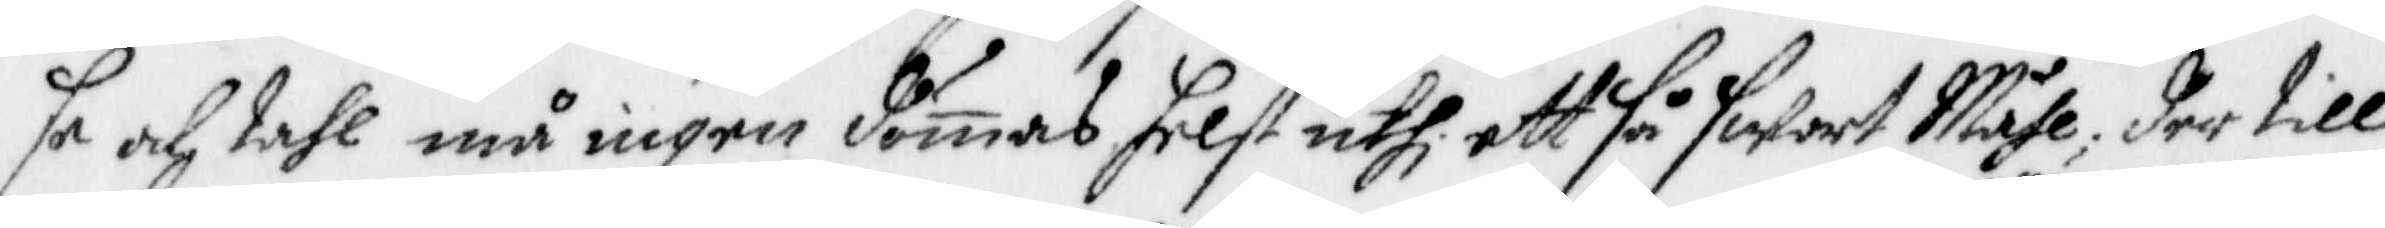se och tahl må ingen dömas, helst uthi ett så swort Måhl, der till
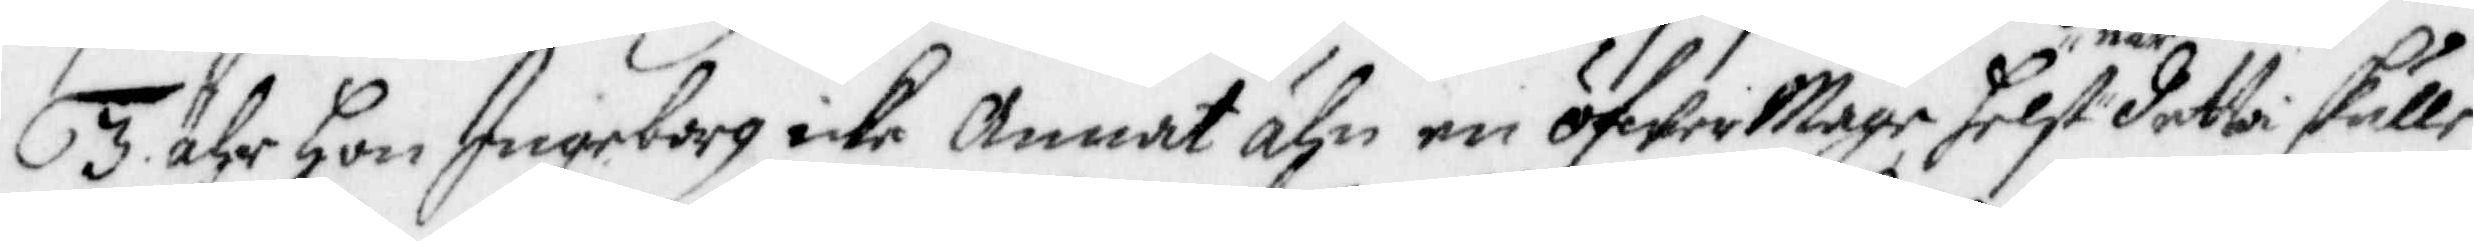3. Ähr Hon Ingeborg icke Annat ähn en öfwer Mage, helst när detta skulle
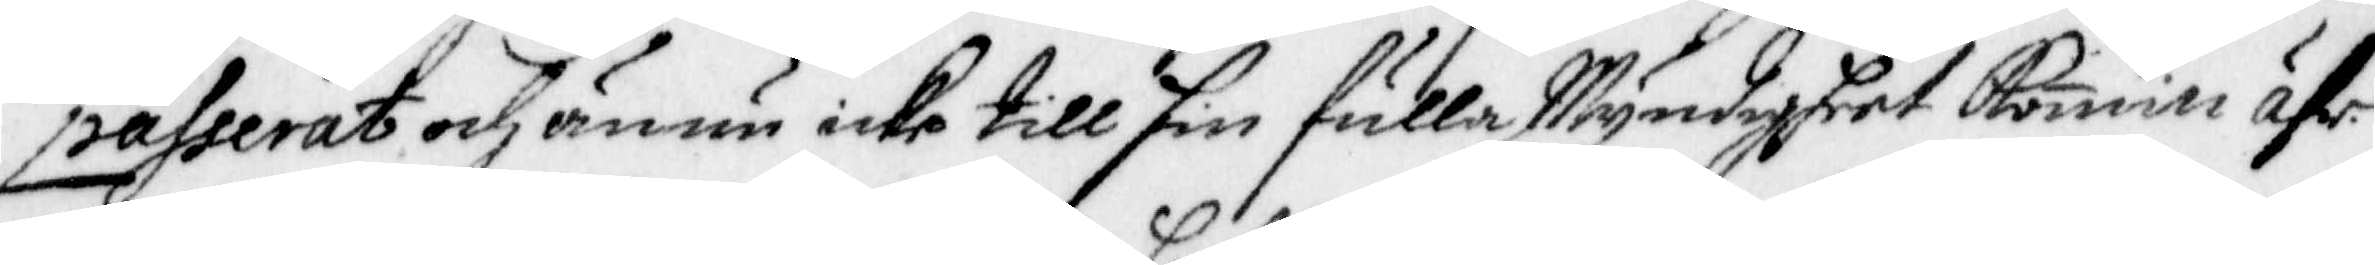passerat och ännu icke till sin fulla Myndigheet komin ähr.
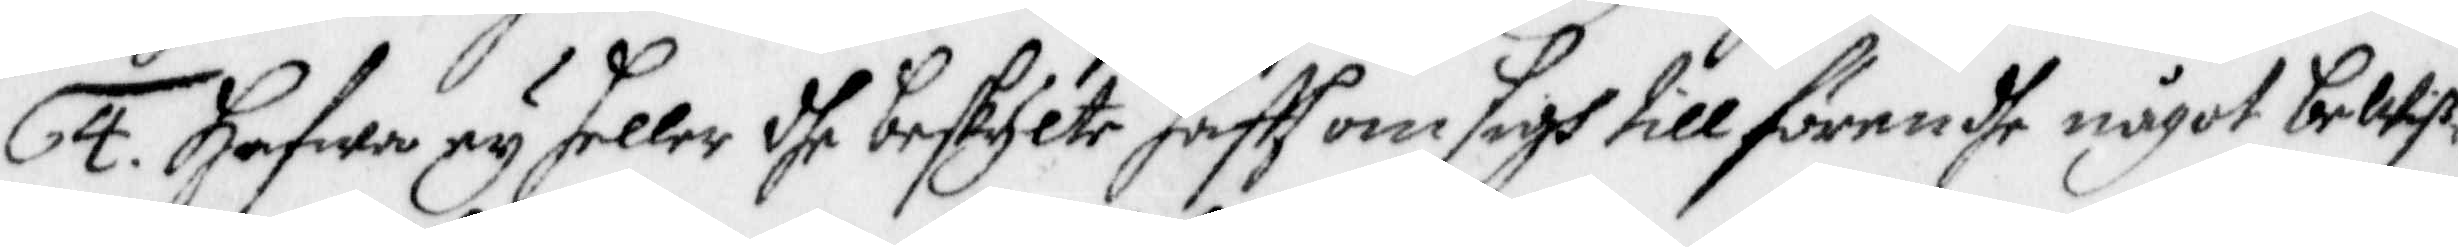4. Hafwa ey heller dhe beskylte haftt om sigh tillförendhe något beWiß¬
